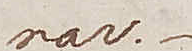rar.
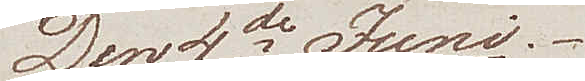Den 4de Juni
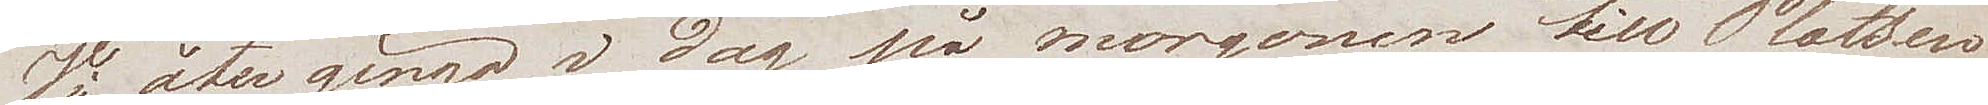Vi återgingo i dag på morgonen till Platsen
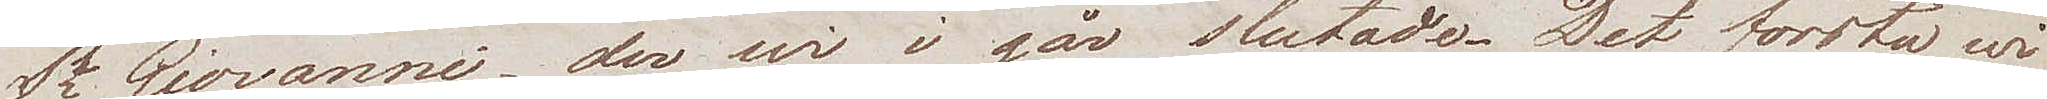St Giovanni, der wi i går slutade. Det första wi
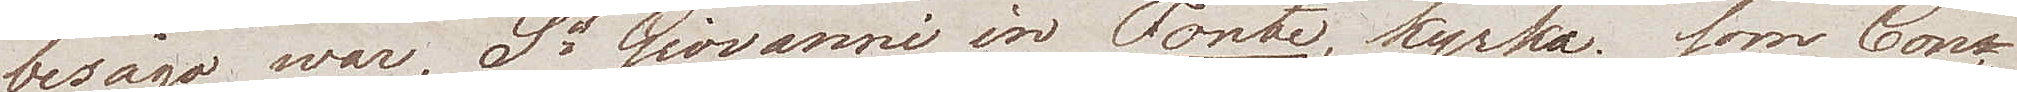besågo war, St Giovanni in Fonte kyrka, som Con¬
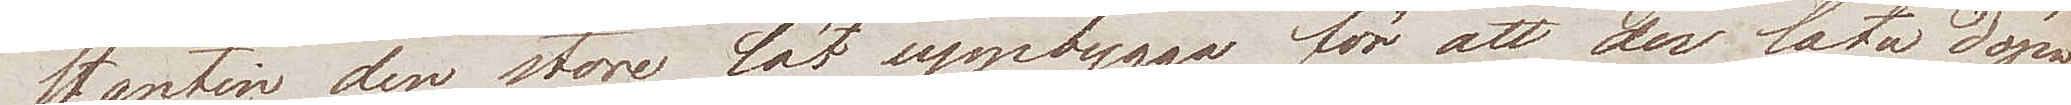stantin den store, lät uppbygga, för att der låta döpa
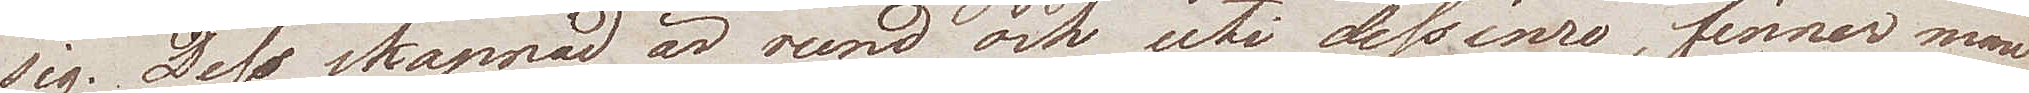sig. Dess skepnad är rund och uti dess inre, finner man
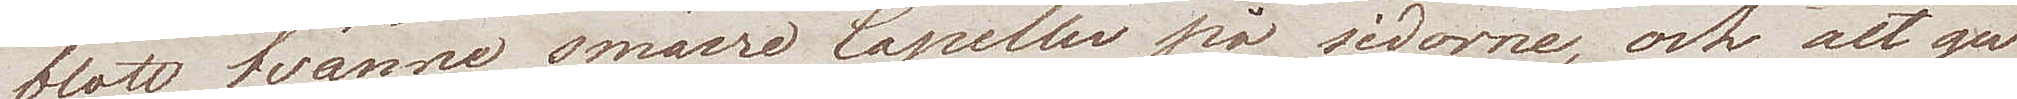blott tvänne smärre Capeller på sidorne, och det ger
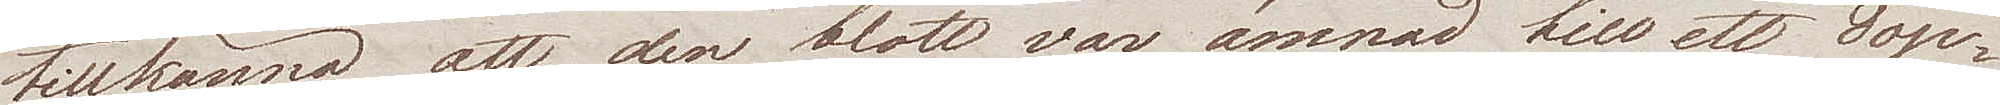tillkänna att den blott var ämnad till ett dop¬
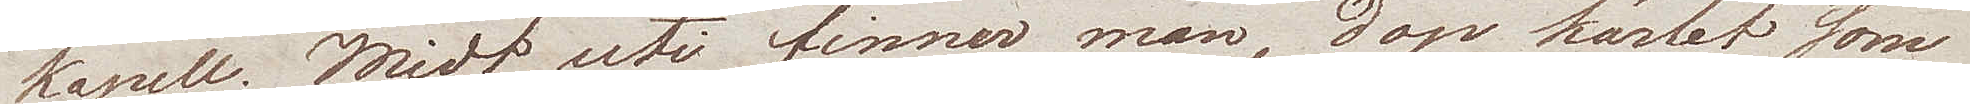kapell. Midt uti finner man, dop kärlet som
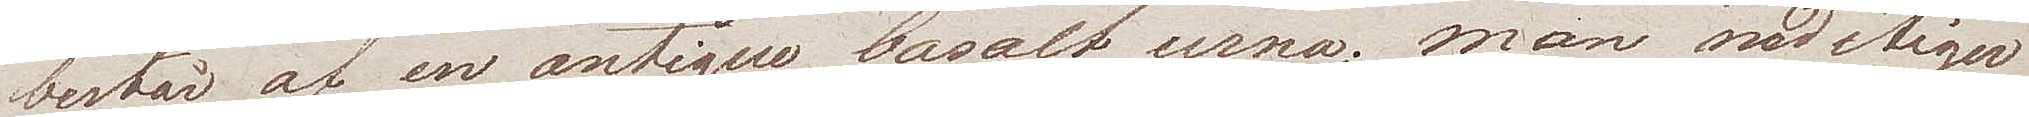består af en  antique basalt urna; man nedstiger
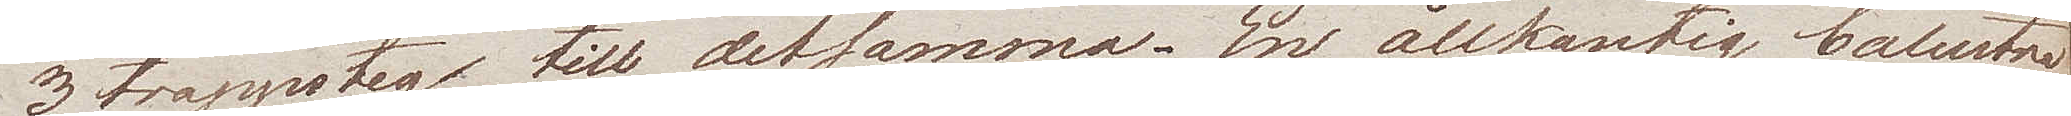3 trappsteg till detsamma. En åttkantig balustra¬
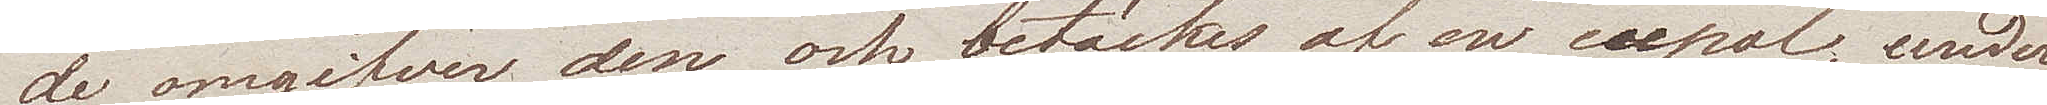de omgifver den, och betäckes af en cupol, under¬
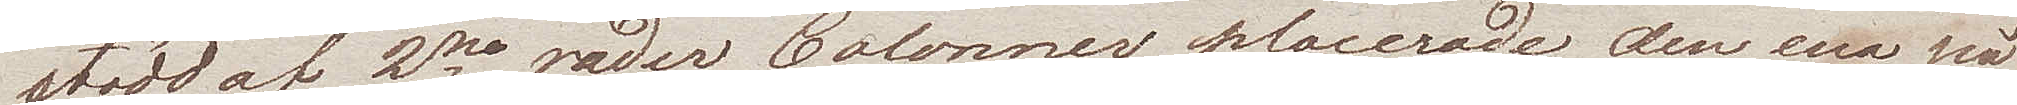stödd af 2ne rader Colonner, placerade den ena på
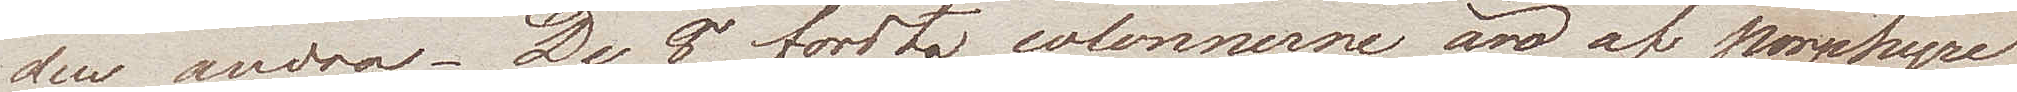den andra. De 8 första colonnerne äro af Porphyre
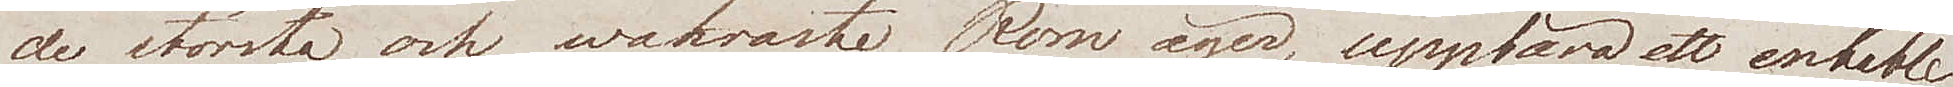de största och wackraste Rom äger, uppbära ett entable¬
